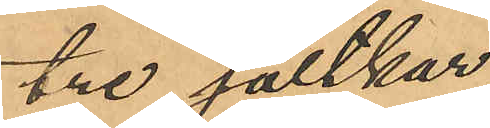tre saltkar,
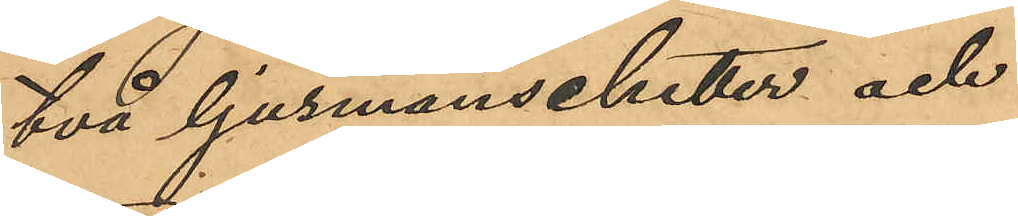två ljusmanschetter och
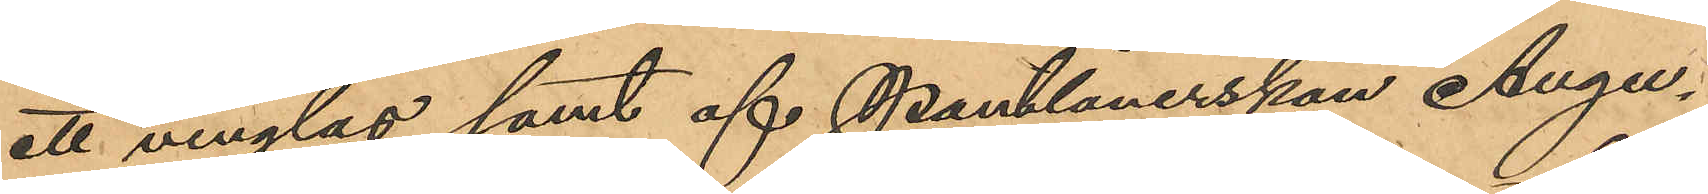ett vinglas samt af Pantlånerskan Augu¬
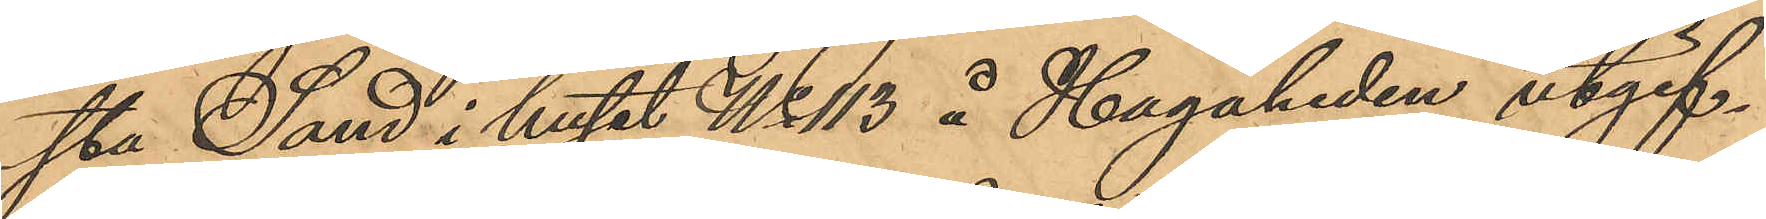sta Sand i huset No 113 å Hagaheden utgif¬
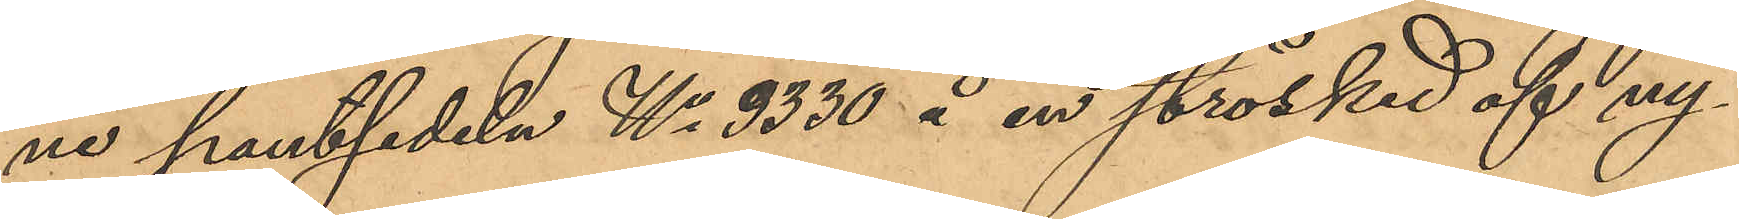ne pantsedeln No 3330 å en strösked af ny¬
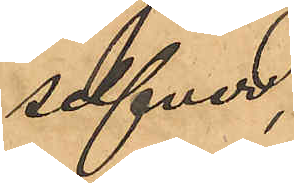silfver,
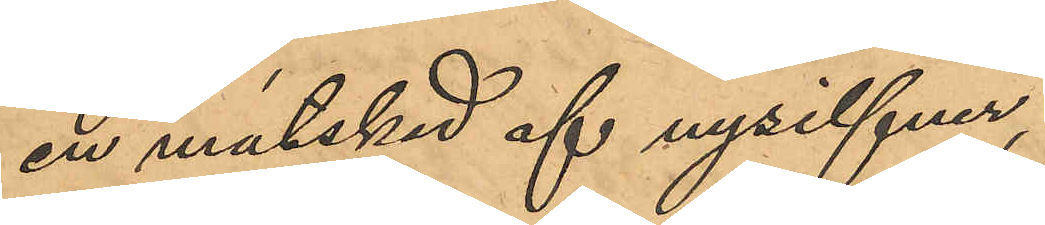en matskad af nysilfver,
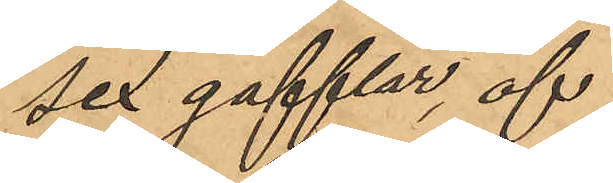sex gafflar, af
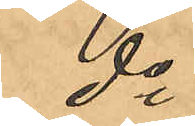do
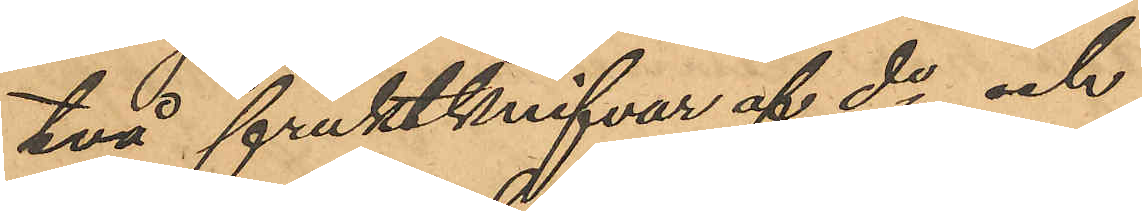två fruktknifvar af do och
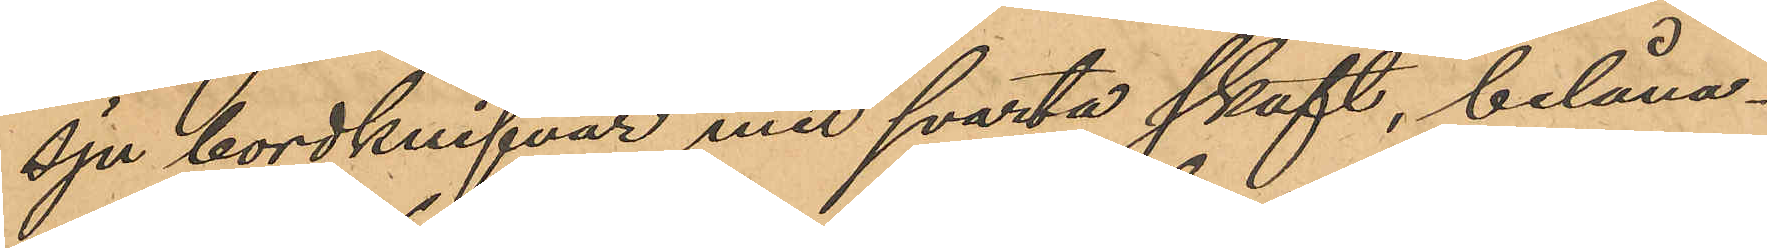sju bordknifvar med svarta skaft, belåna¬
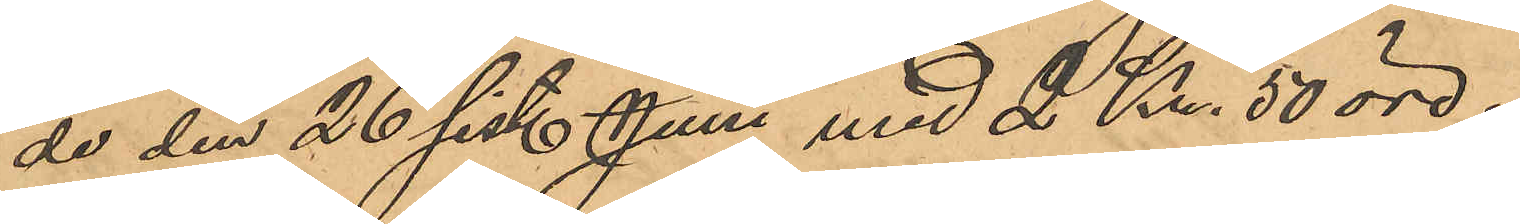de den 26 sist. Juni med 2 Kr. 50 öre.
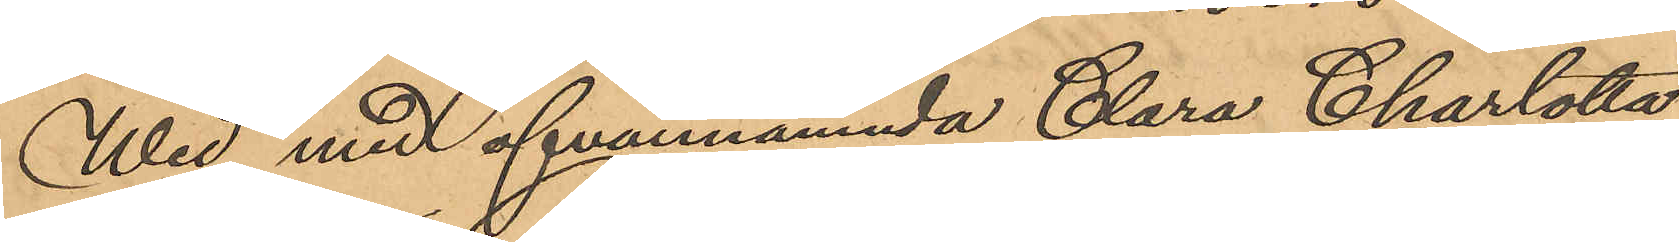Wid med ofvannämnda Clara Charlotta
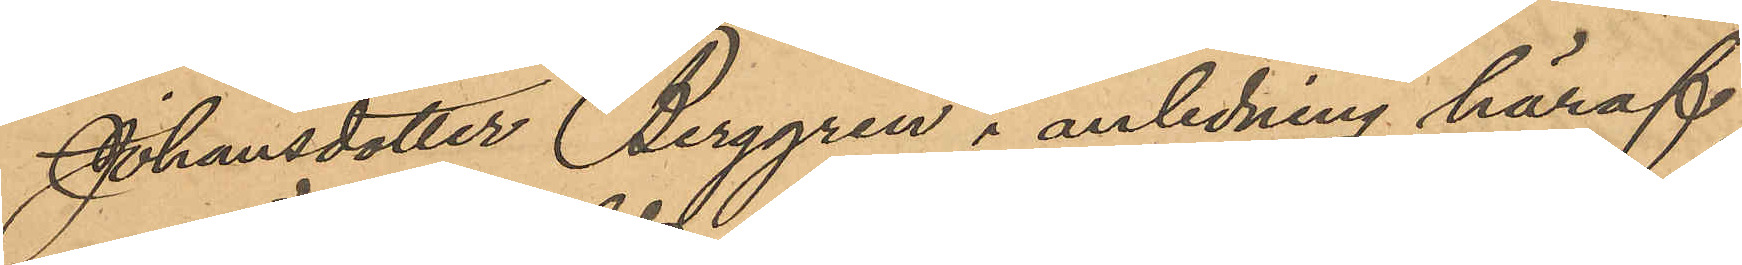Johansdotter Berggren i anledning häraf
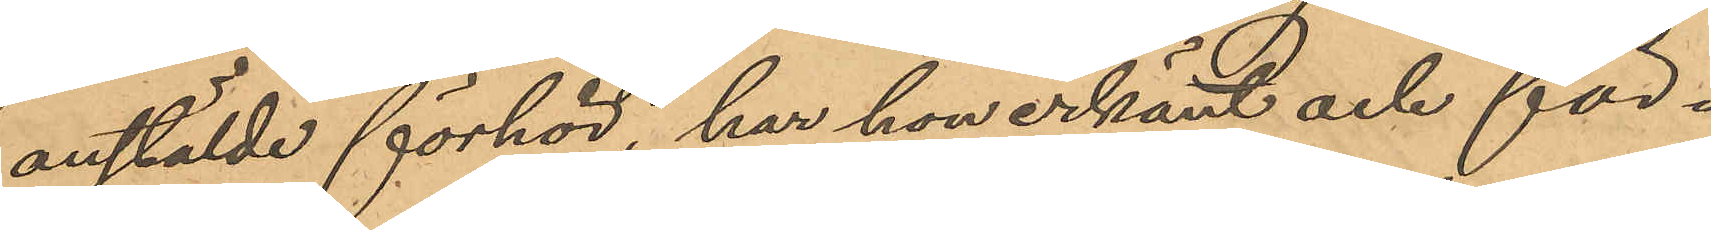anstälde förhör, har hon erkänt och för¬
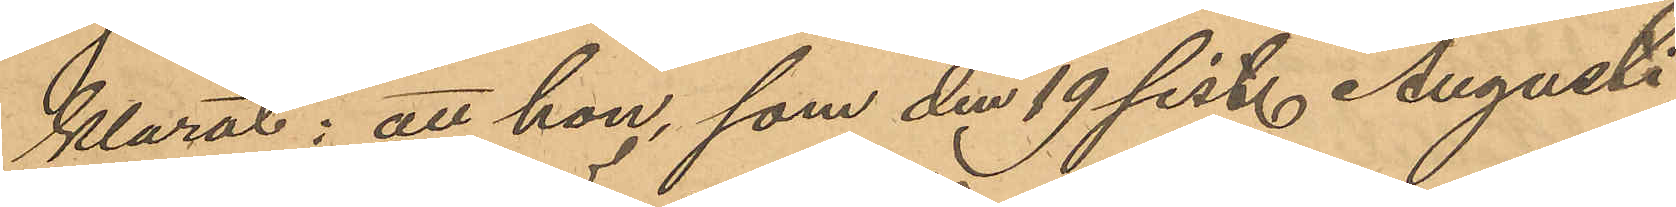klarat; att hon, som den 19 sist. Augusti
